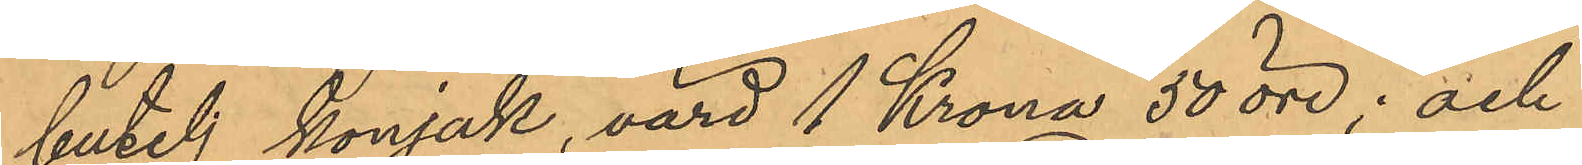butelj konjak, värd 1 Krona 50 öre; och
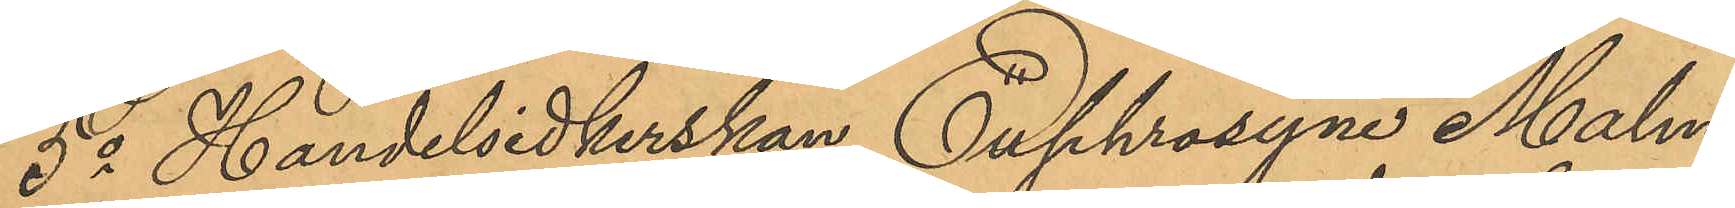5o Handelsidkerskan Euphrosyne Malm¬
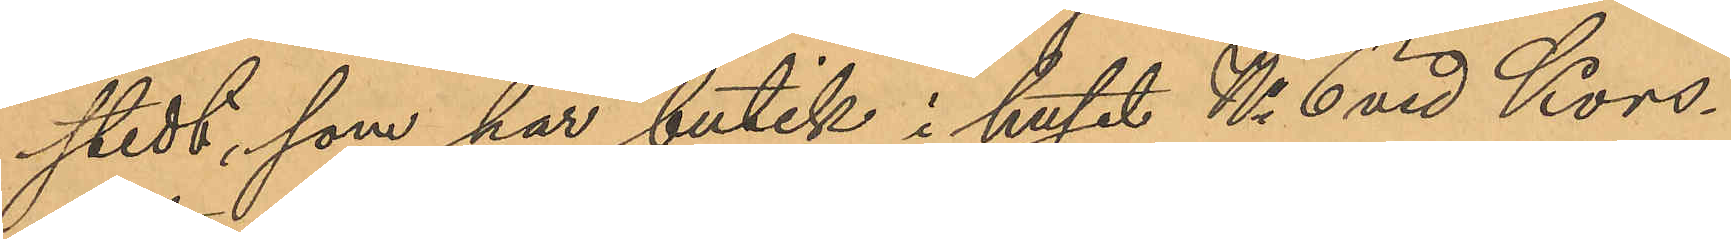stedt, som har butik i huset No 6 vid Kors¬
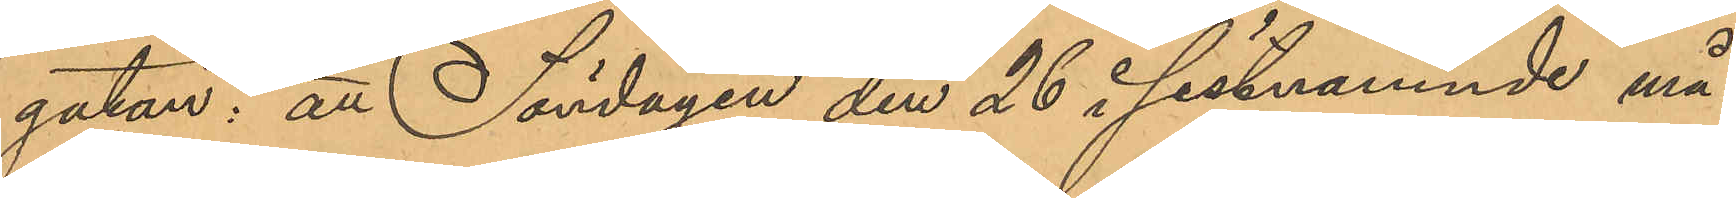gatan: att Söndagen den 26 i sistnämnde må¬
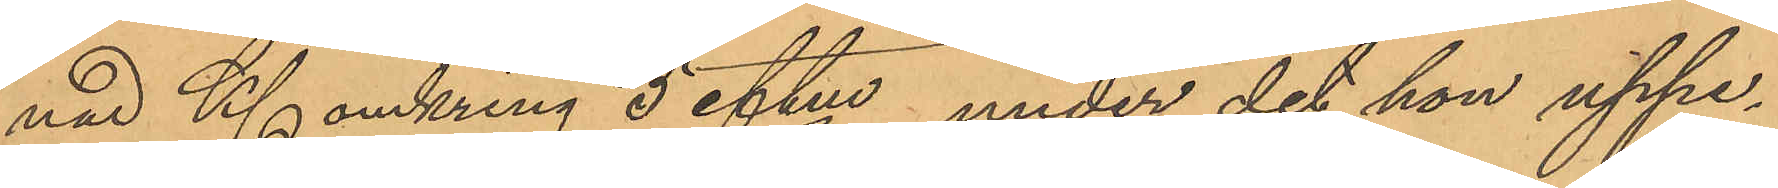nad Kl. omkring 5 eftm, under det hon uppe¬
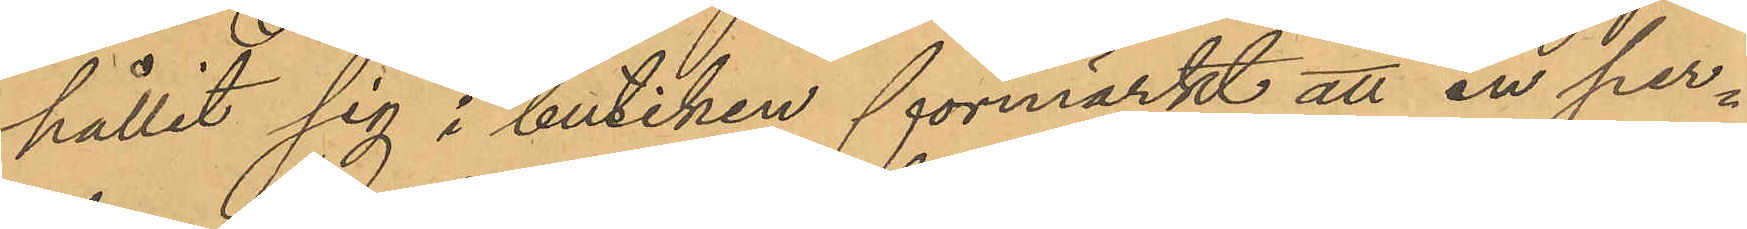hållit sig i butiken förmärkt att en per¬
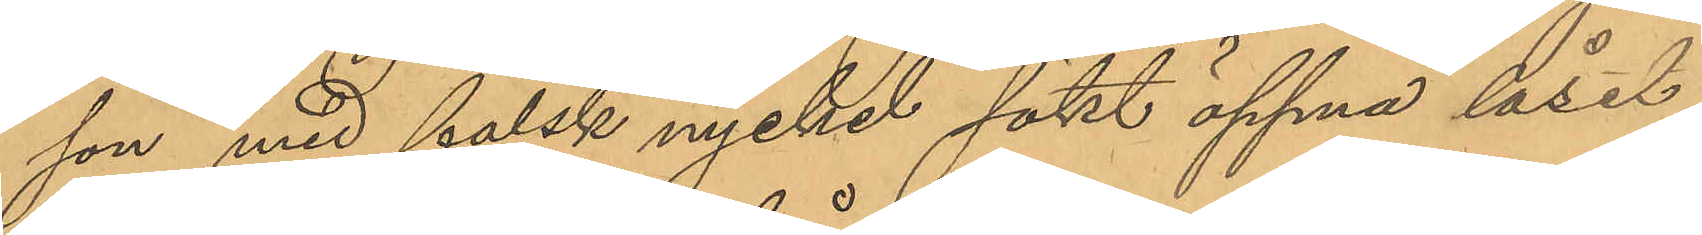son med falsk nyckel sökt öppna låset
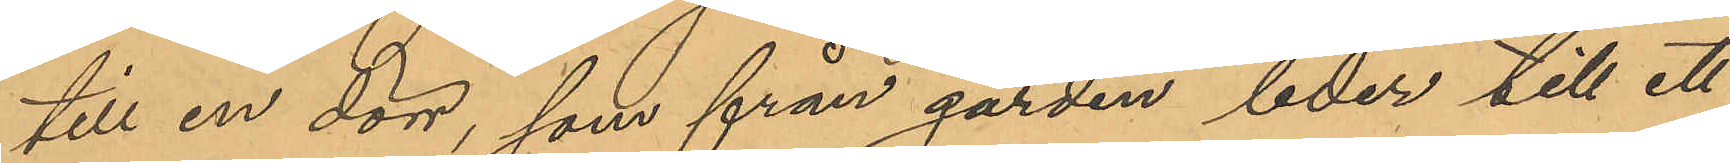till en dörr, som från gården leder till ett
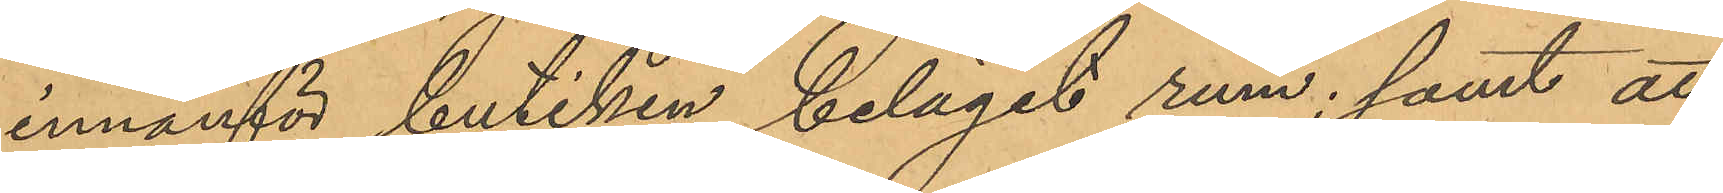innanför butiken beläget rum; samt att,
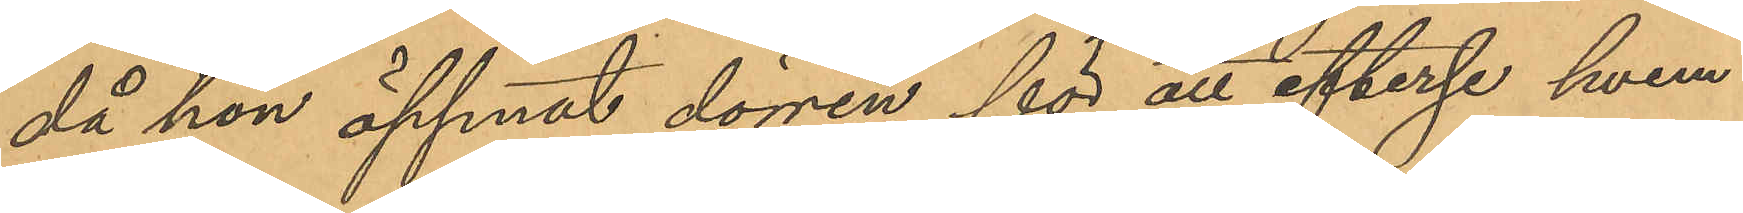då hon öppnat dörren för att efterse hvem
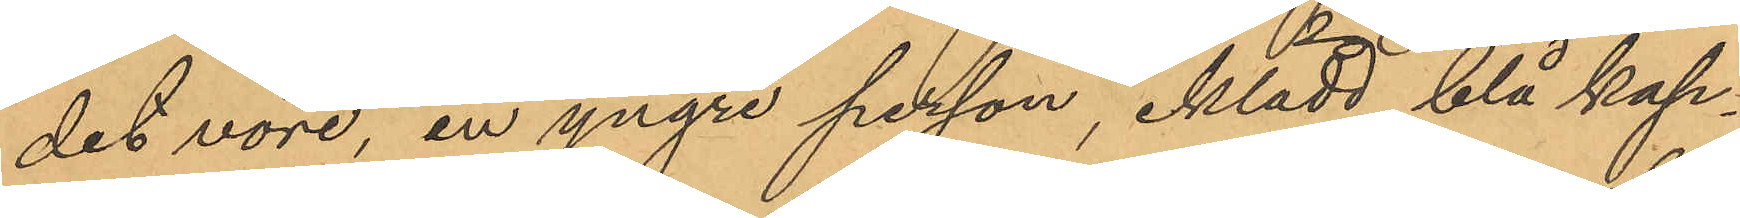det vore, en yngre person, iklädd blå kap¬
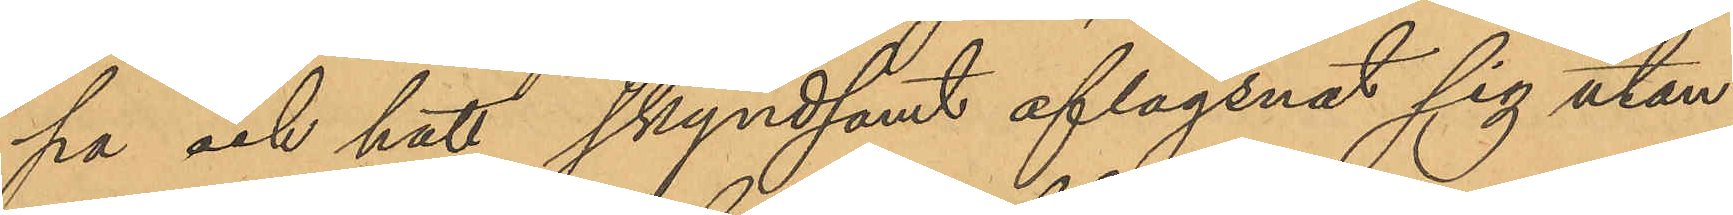pa och hatt skyndsamt aflägsnat sig utan
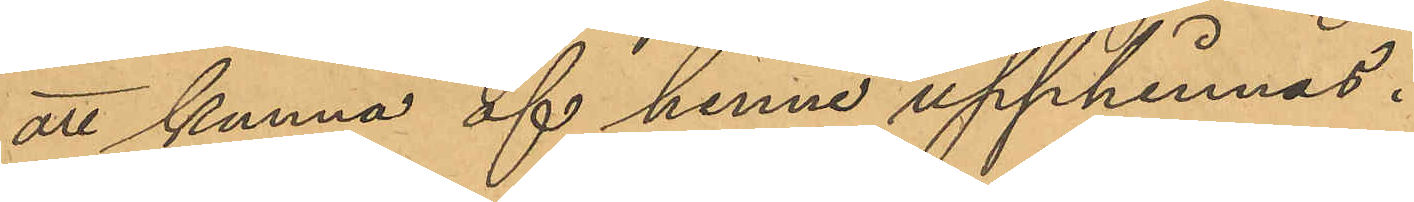att kunna af henne upphinnas.
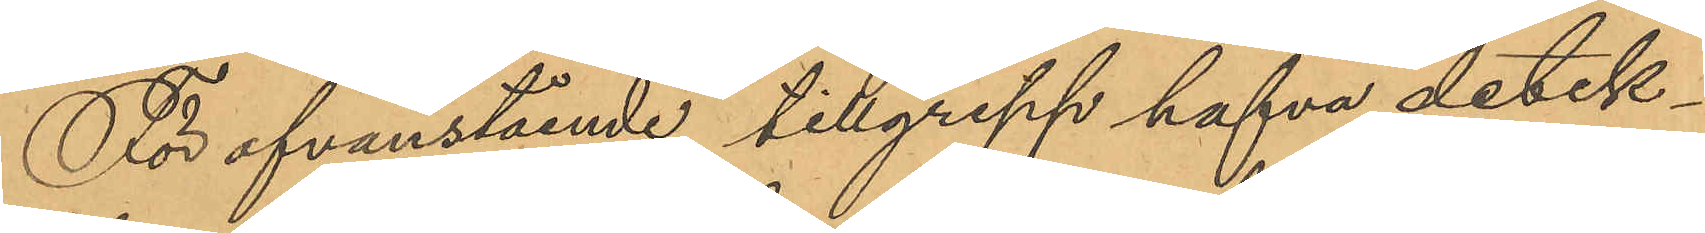För ofvanstående tillgrepp hafva detek¬
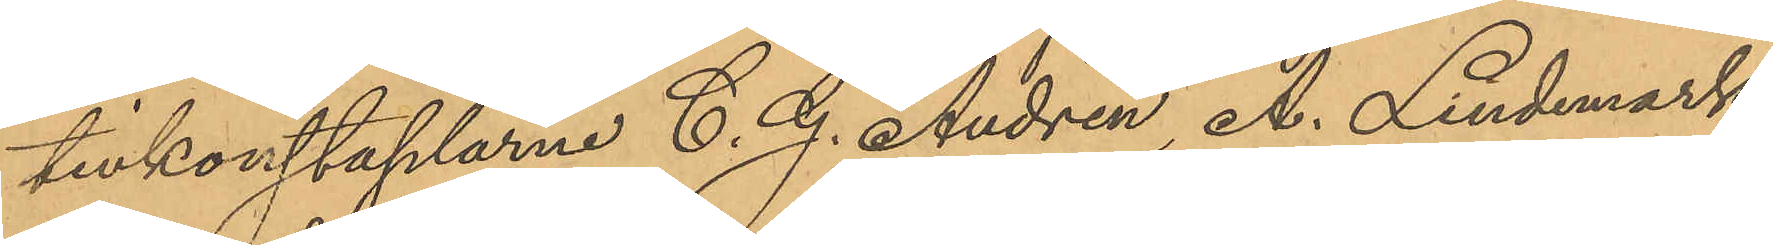tivkonstaplarne C. G. Andrén, A. Lindemark
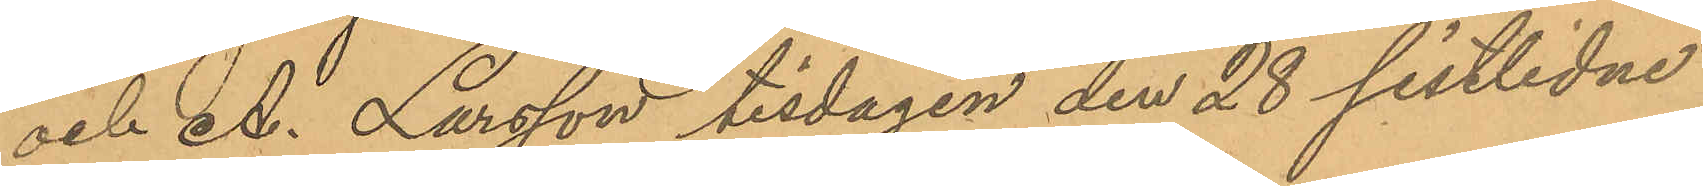och A. Larsson tisdagen den 28 sistlidne
